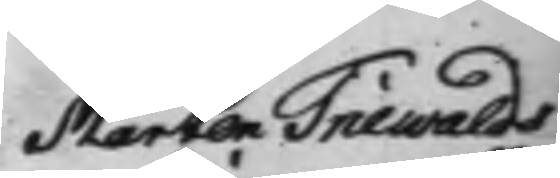Mårten Triewalds
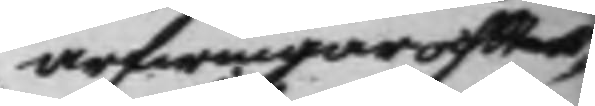arfwingar och Sterb¬
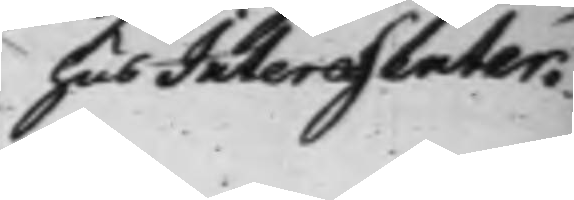hus Interessenter.
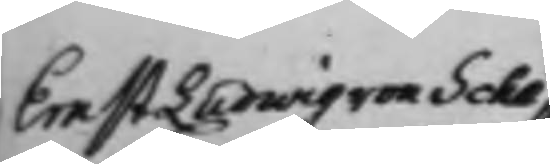Ernst Ludwig von Sche¬
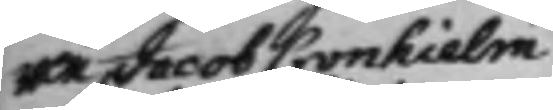wen, Jacob Cronhielm
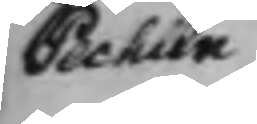Pechlin
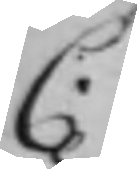C.
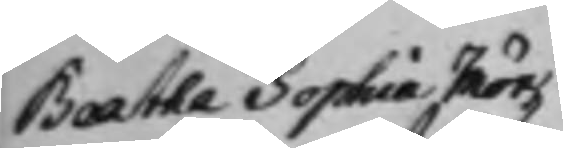Beatha Sophia Mör¬
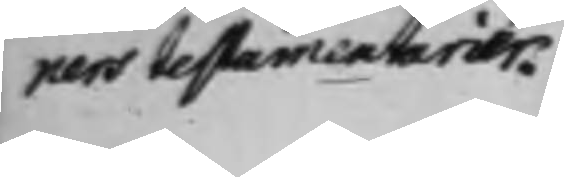ners testamentarier.
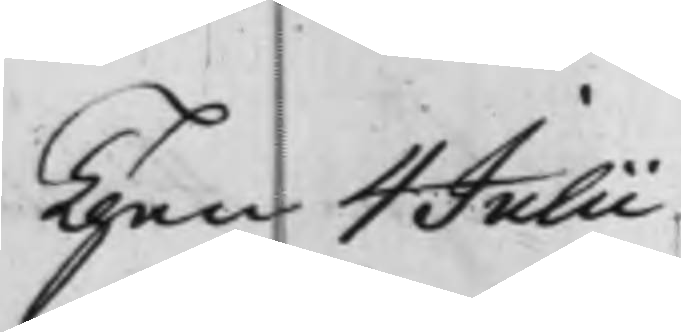Then 4 Julii
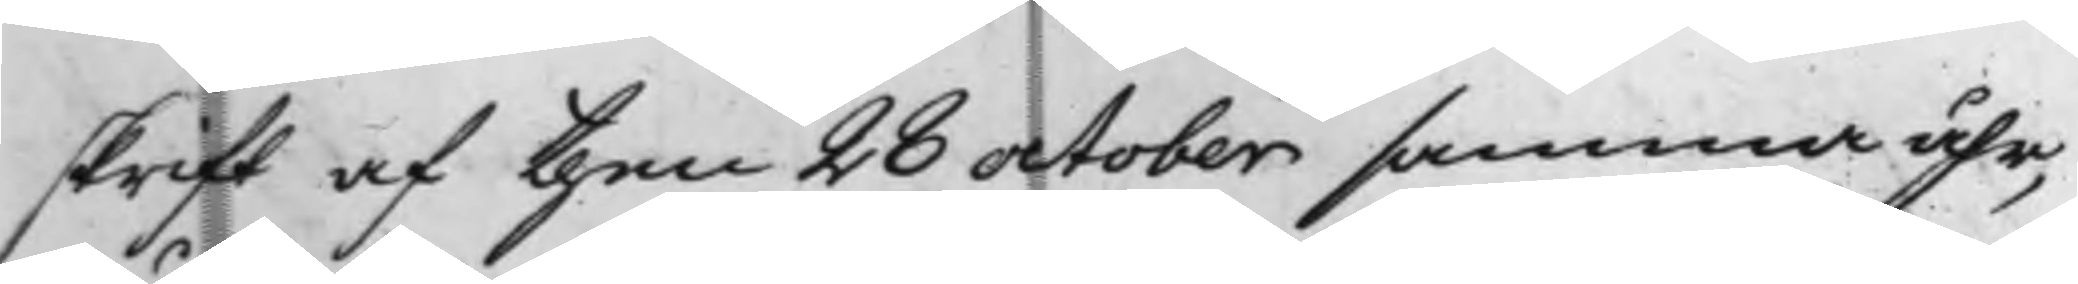skrift af then 28 october samma åhr,
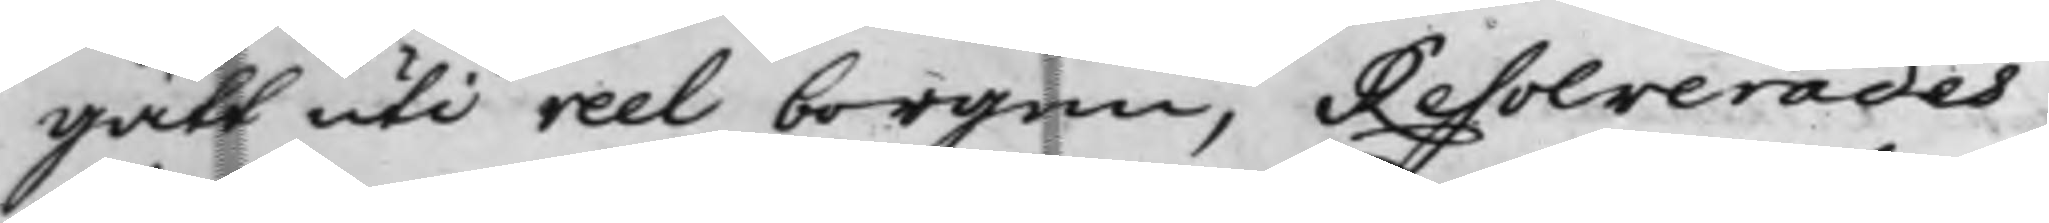gått uti reel borgen, Resolverades
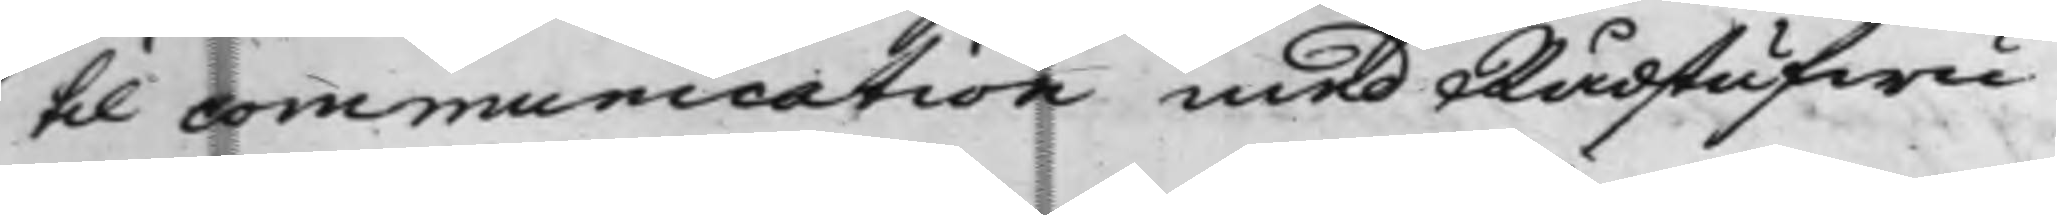til communication med Rådstufwu¬
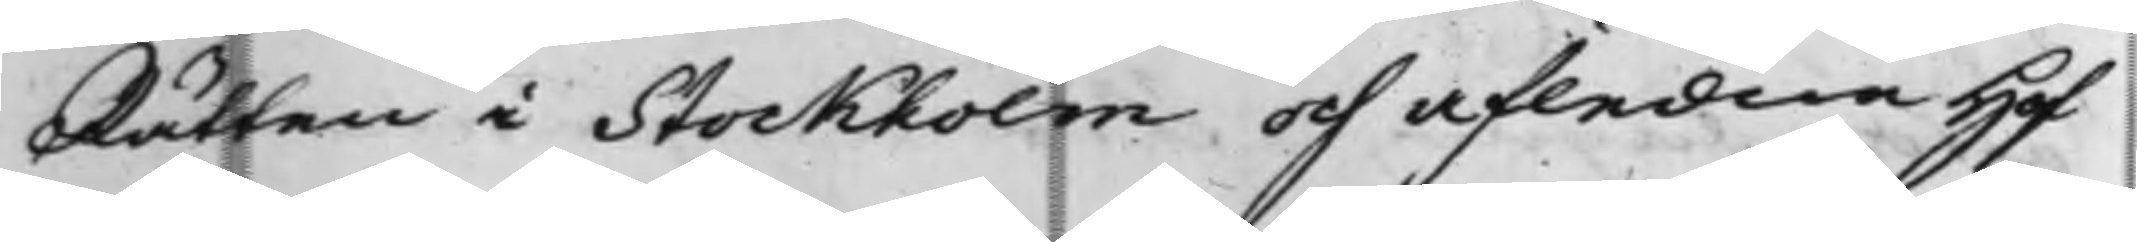Rätten i Stockholm och afledne Hof¬
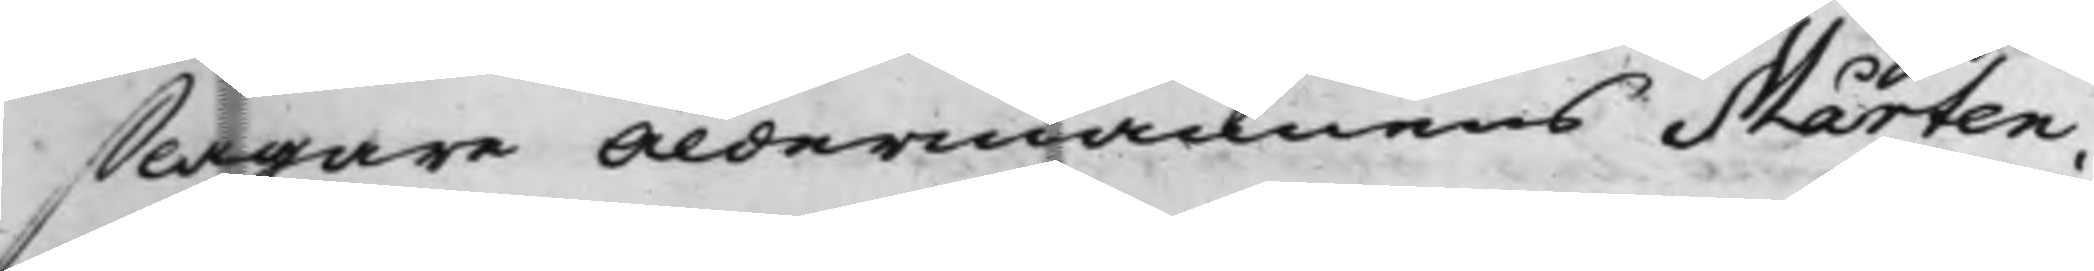slagare Åldermannens Mårten
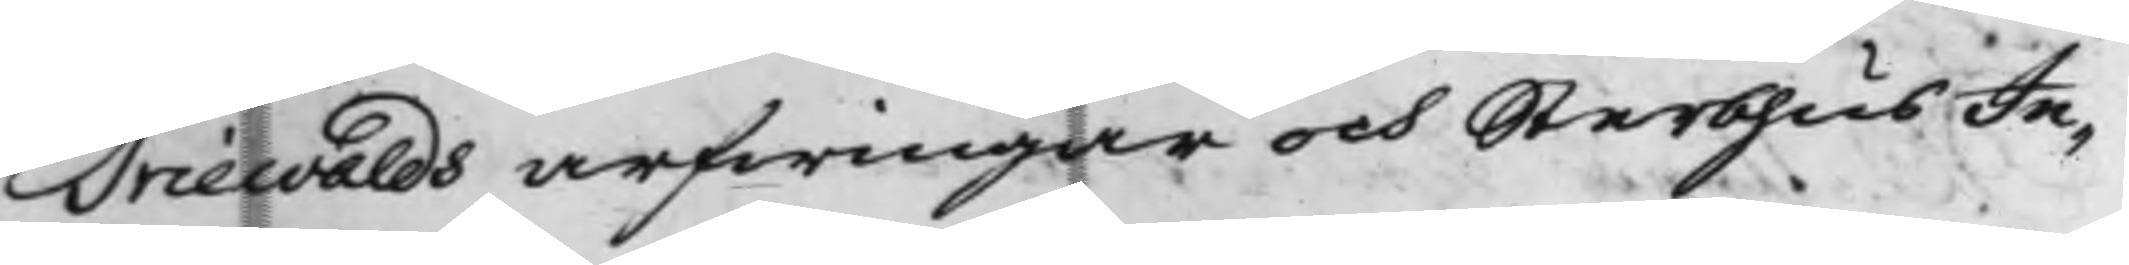Triewalds arfwingar och SterbhusIn¬
